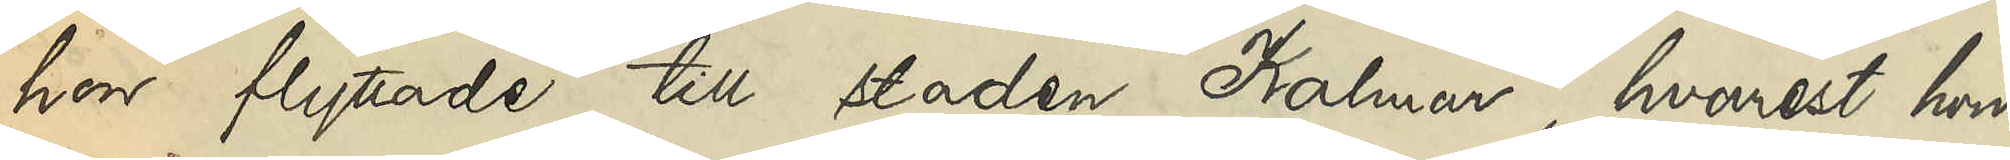hon flyttade till staden Kalmar, hvarest hon
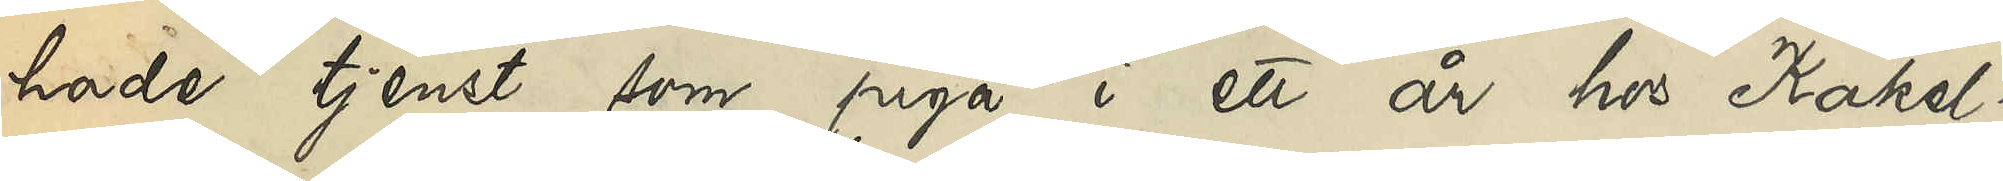hade tjenst som piga i ett år hos Kakel¬
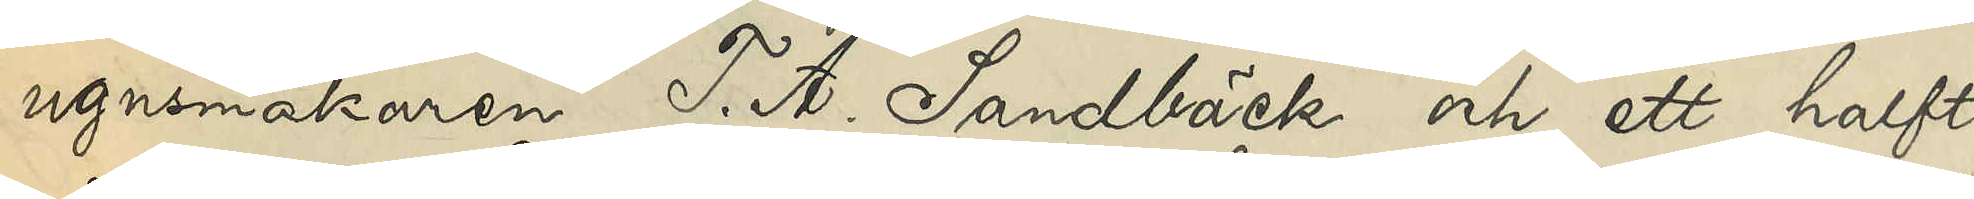ugnsmakaren T. A. Sandbäck och ett halft 
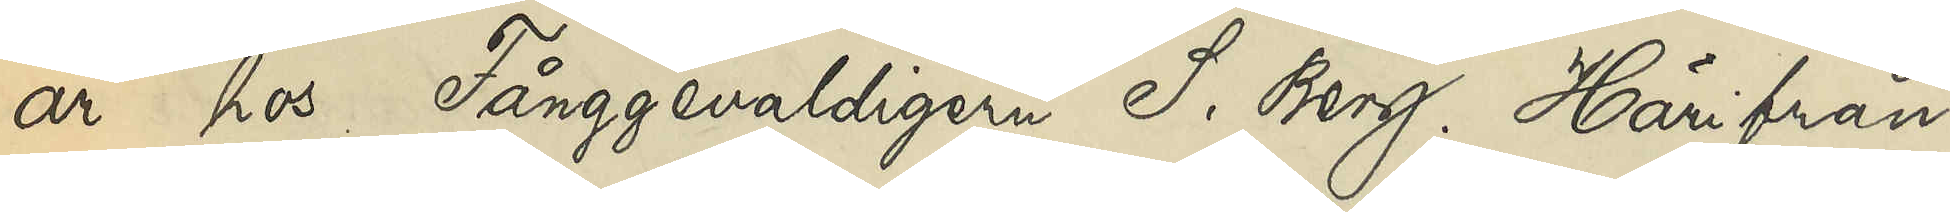år hos Fånggevaldigern S. Berg. Härifrån
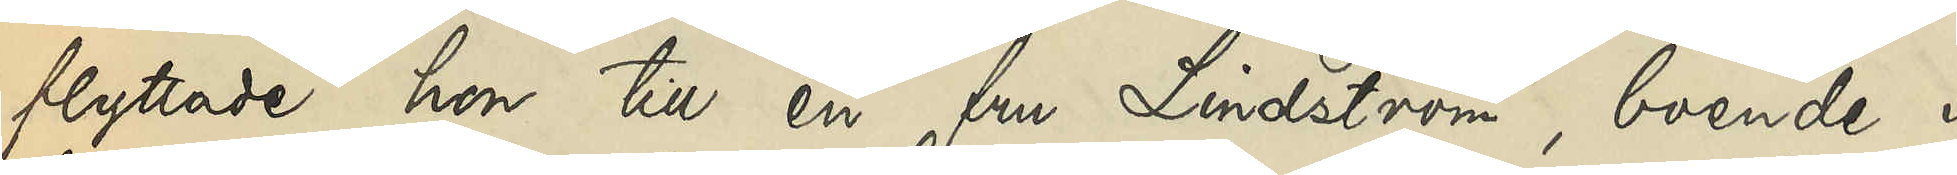flyttade hon till en fru Lindström, boende i
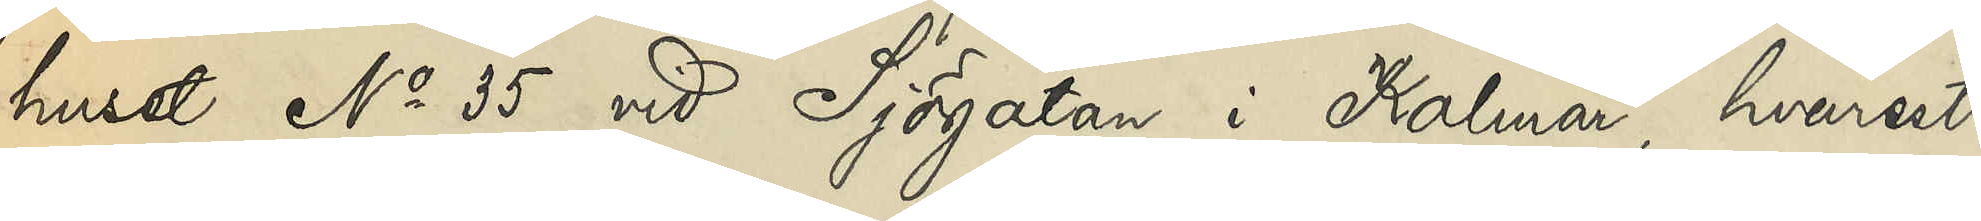huset No 35 vid Sjögatan i Kalmar, hvarest
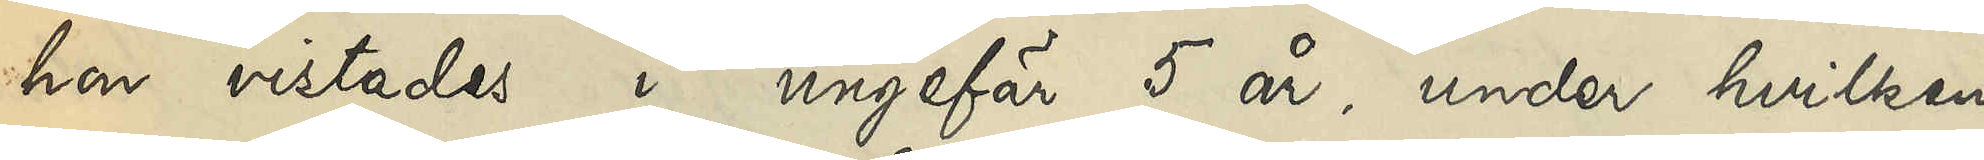hon vistades i ungefär 5 år, under hvilken
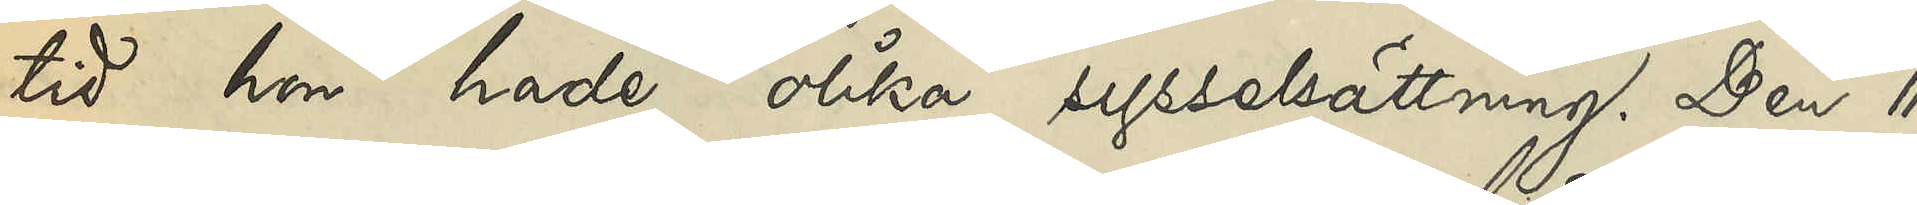tid hon hade olika sysselsättning. Den 11
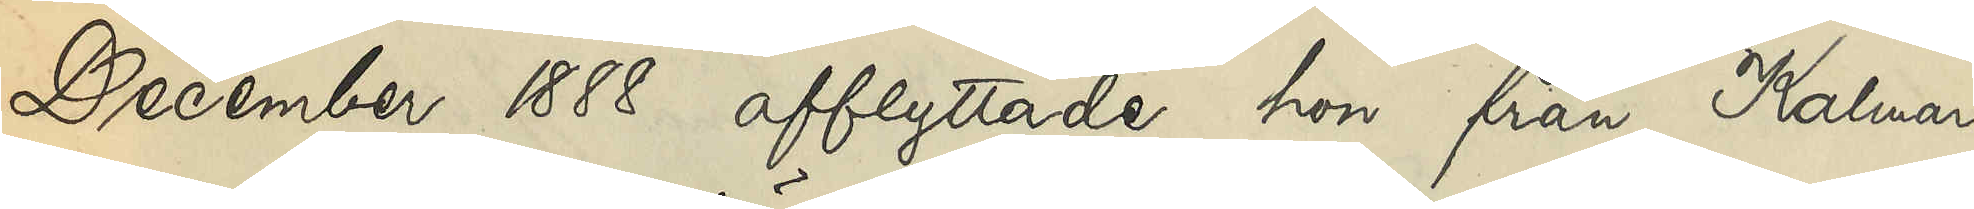December 1888 afflyttade hon från Kalmar
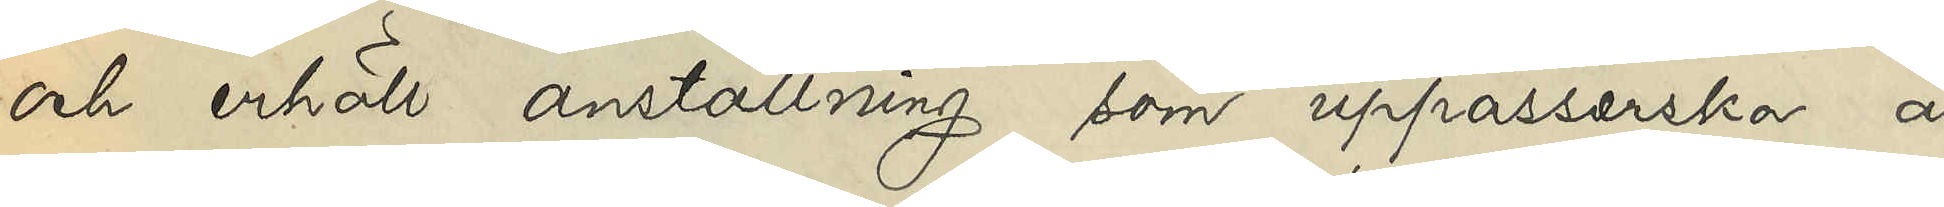och erhöll anställning som uppasserska å
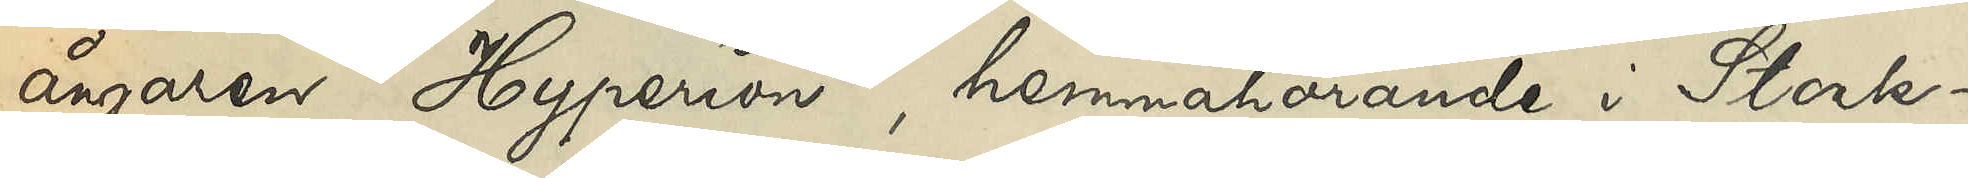ångaren Hyperion, hemmahörande i Stock¬
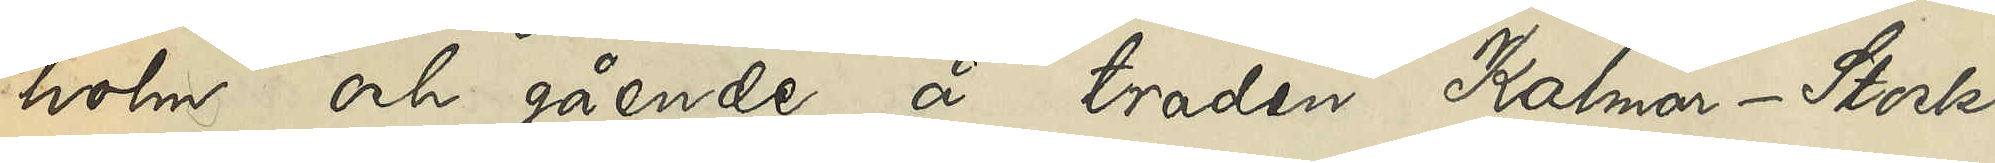holm och gående å traden Kalmar - Stock¬
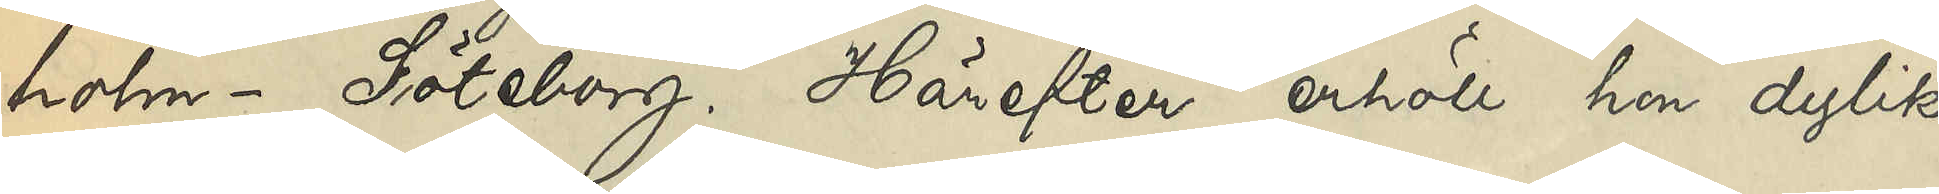holm - Göteborg. Härefter erhöll hon dylik
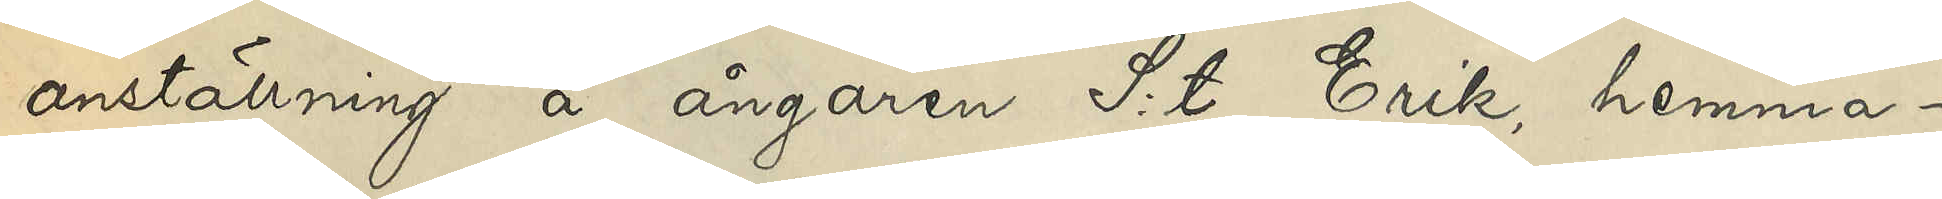anställning å ångaren S:t Erik, hemma¬
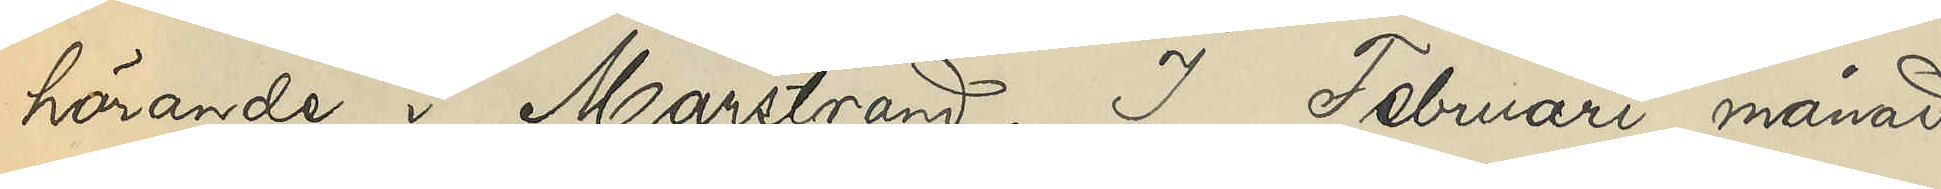hörande i Marstrand. I Februari månad
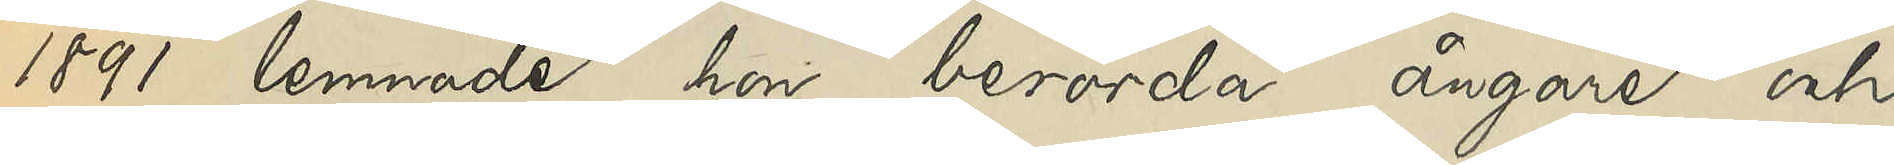1891 lemnade hon berörda ångare och
